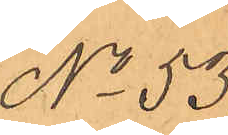No 53.
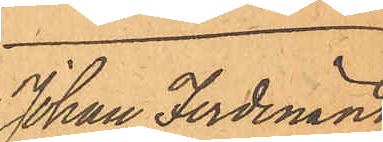Johan Ferdinand
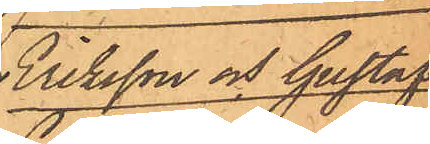Eriksson och Gustaf
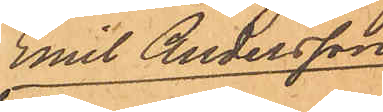Emil Andersson
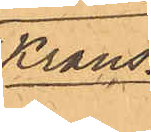Krans.
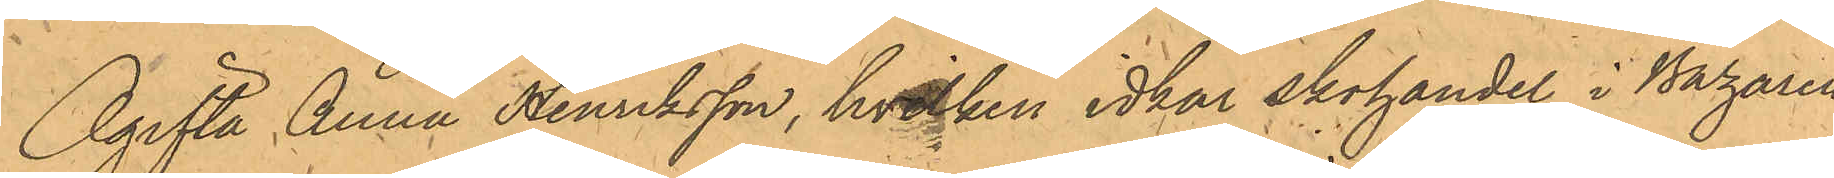Ogifta Anna Henriksson, hvilken idkar skohandel i Bazaren
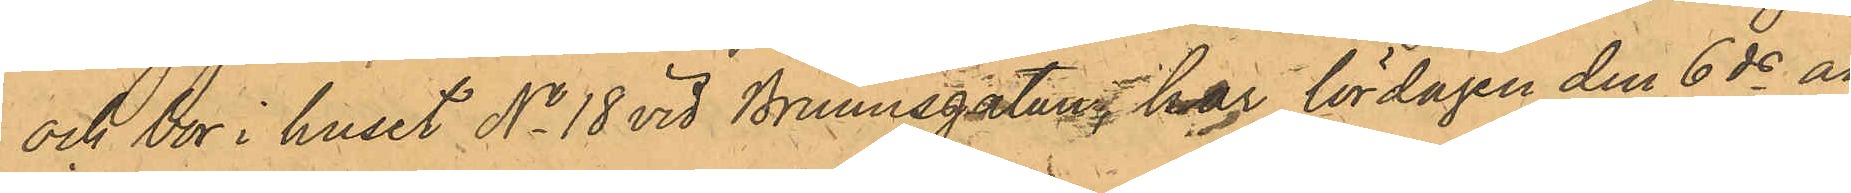och bor i huset No 18 vid Brunnsgatan har lördagen den 6 ds an¬
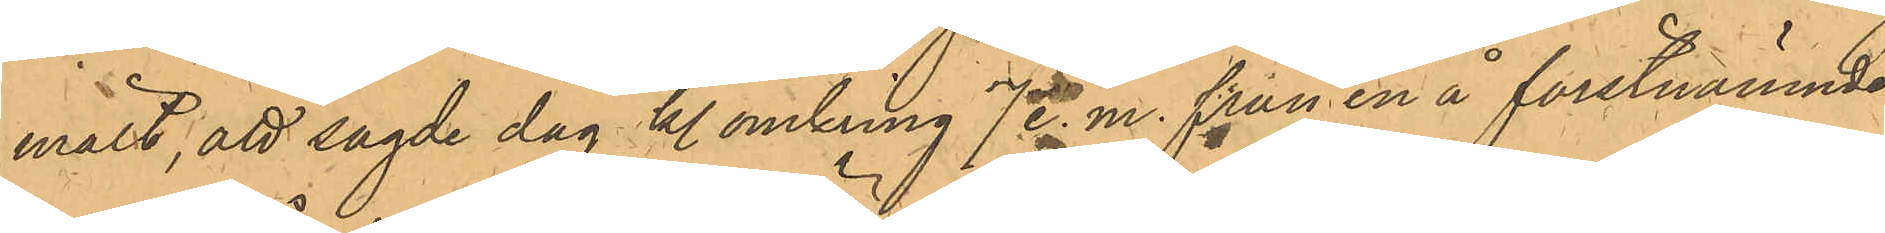mält, att sagde dag kl. omkring 7 e. m. från en å förstnämnde
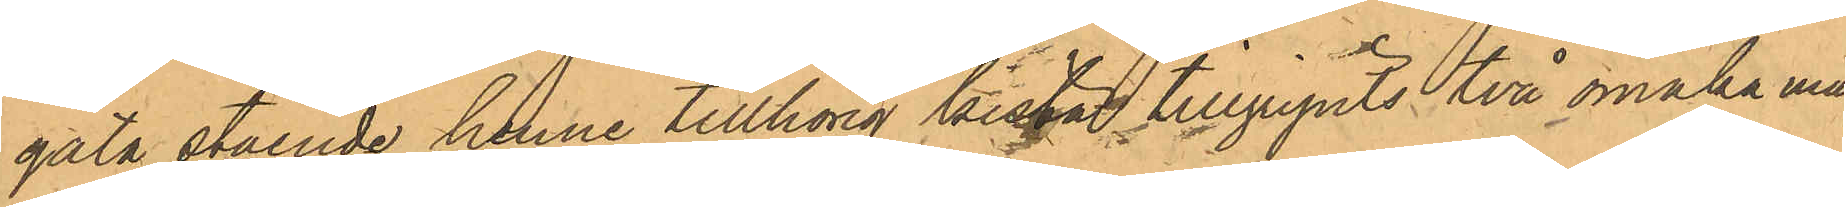gata stående henne tillhörig kista tillgripits två omaka mans¬
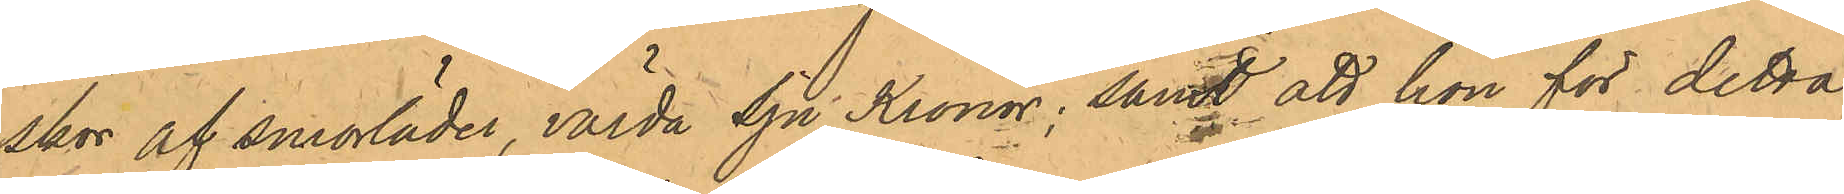skor af smorläder, värda Sju Kronor; samt att hon för detta
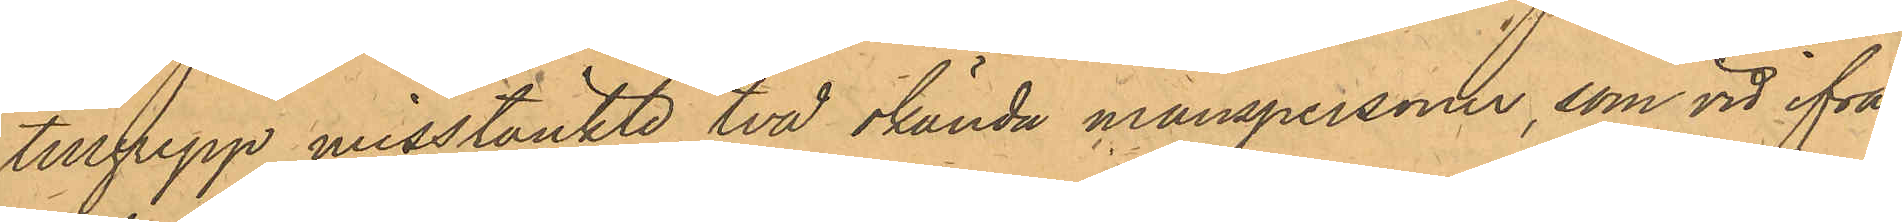tillgrepp misstänkte två okända manspersoner, som vid ifrå¬
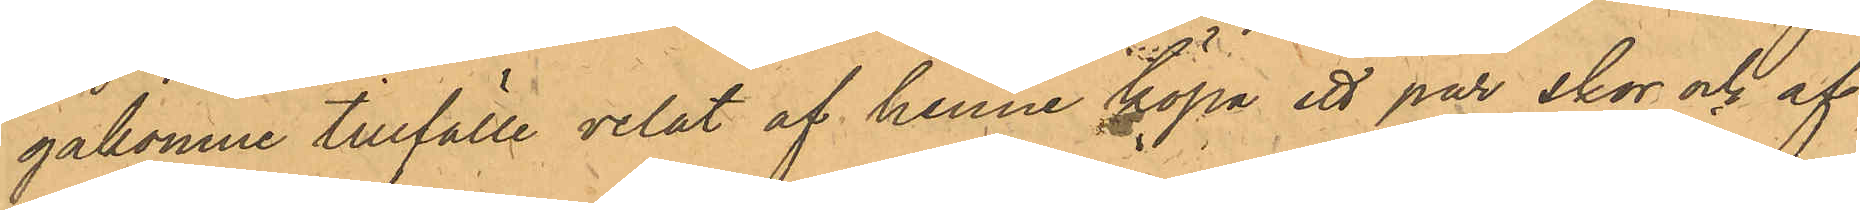gakomne tillfälle velat af henne köpa ett par skor och af
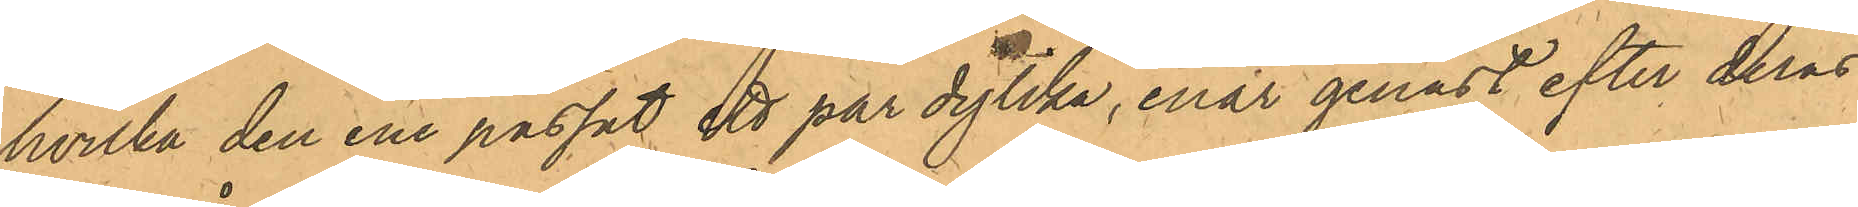hvilka den ene passat ett par dylika, enär genast efter deras
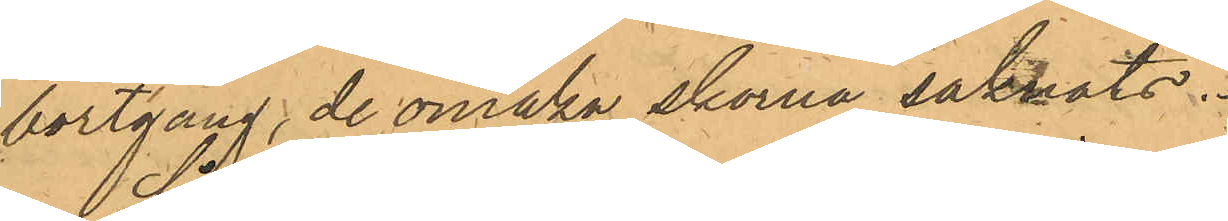bortgång, de omaka skorna saknats.
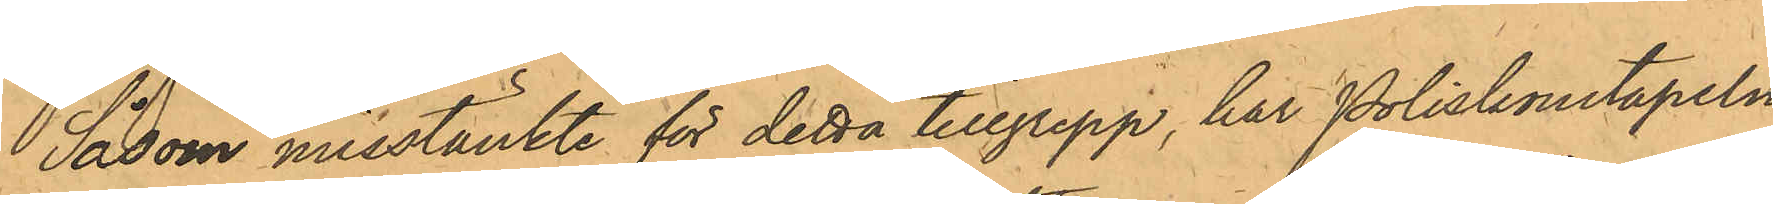Såsom misstänkte för detta tillgrepp, har Poliskonstapeln
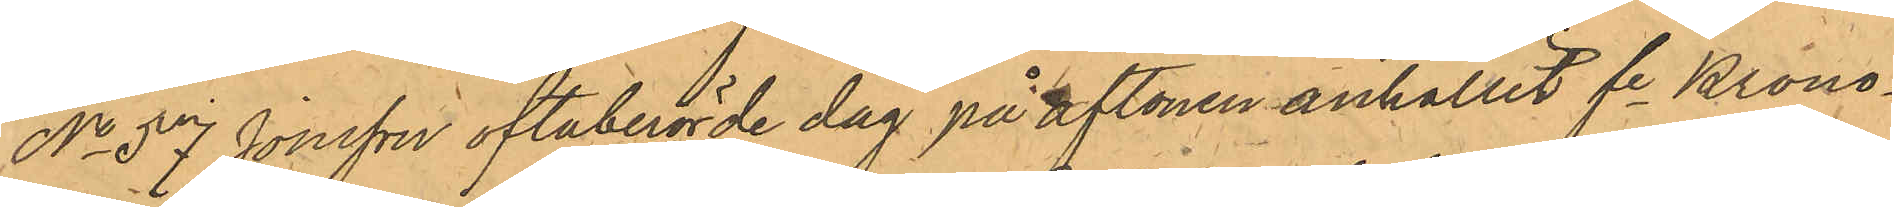No 57 Jonsson oftaberörde dag på aftonen anhållit fe Krono¬
